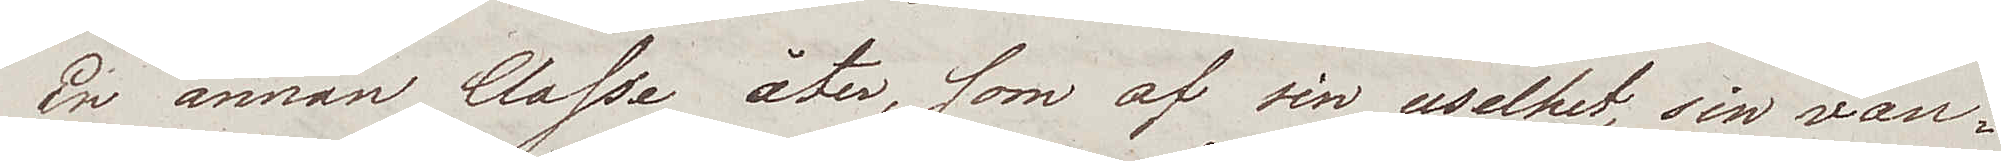En annan Classe åter, som av sin uselhet, sin van¬
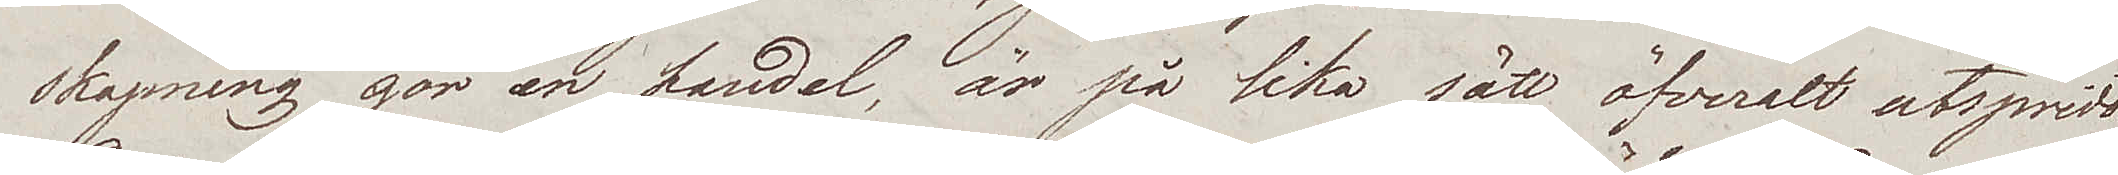skapning gör en handel, är på lika sätt öfveralt utspridd.
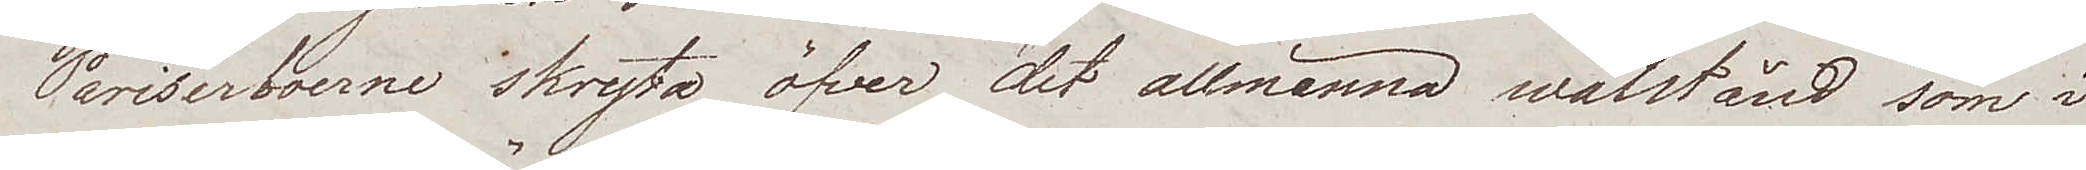Pariserboerne skryta öfver det allmänna wälstånd som i
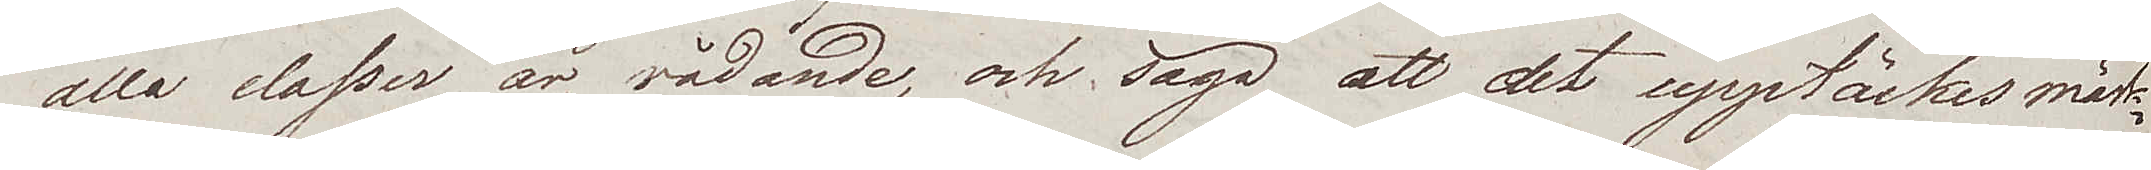alla classer är rådande, och säga att det upptäckes märk¬
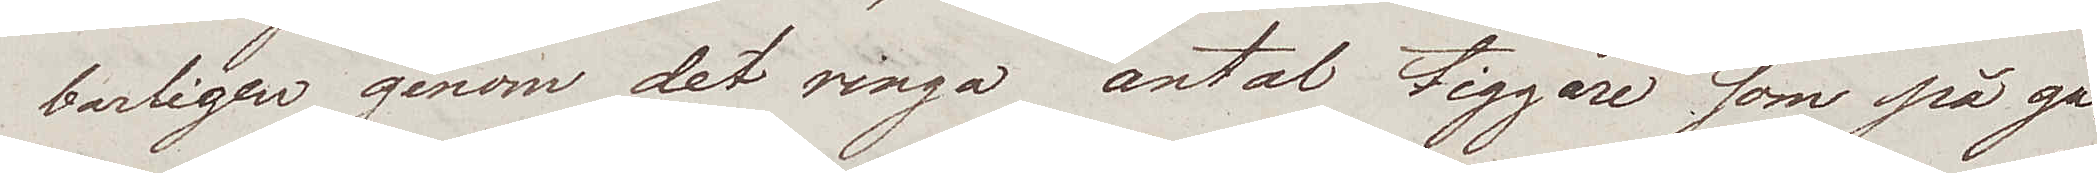barligen genom det ringa antal tiggare som på ga¬
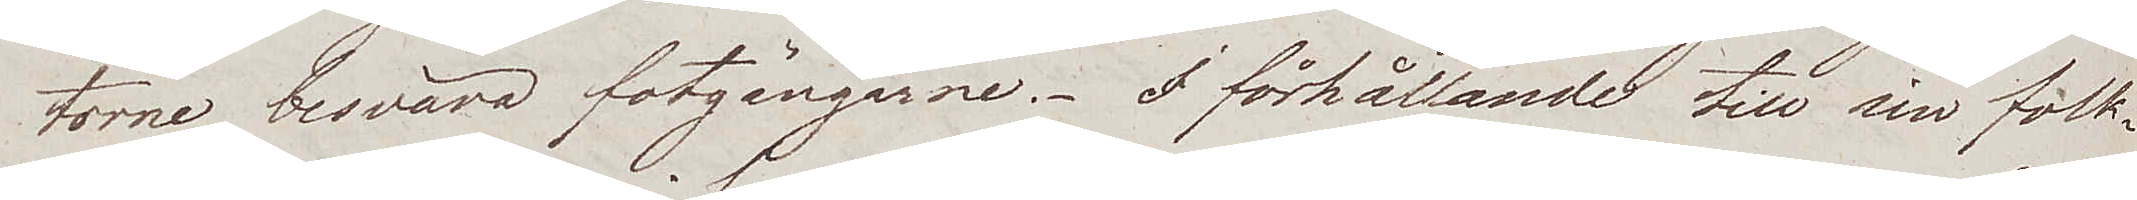torne besvära fotgängarne. I förhållande till sin folk¬
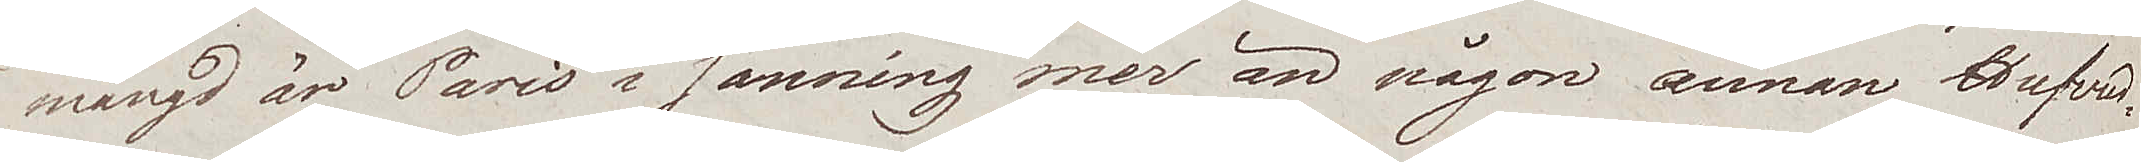mängd är Paris i sanning mer än någon annan Hufvud¬
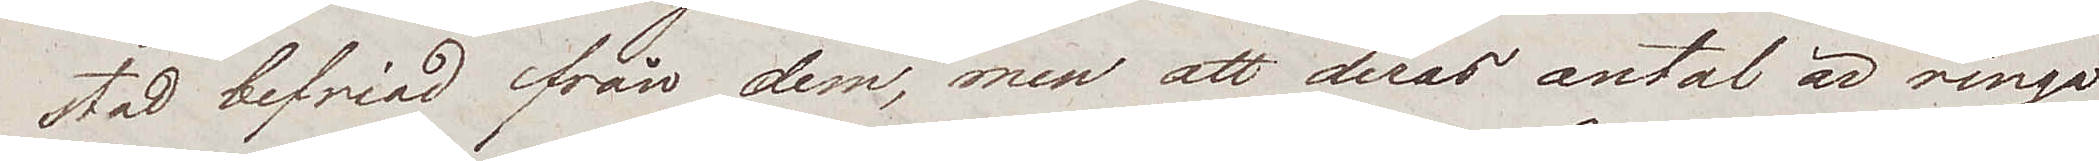stad befriad från dem, men att deras antal är ringa
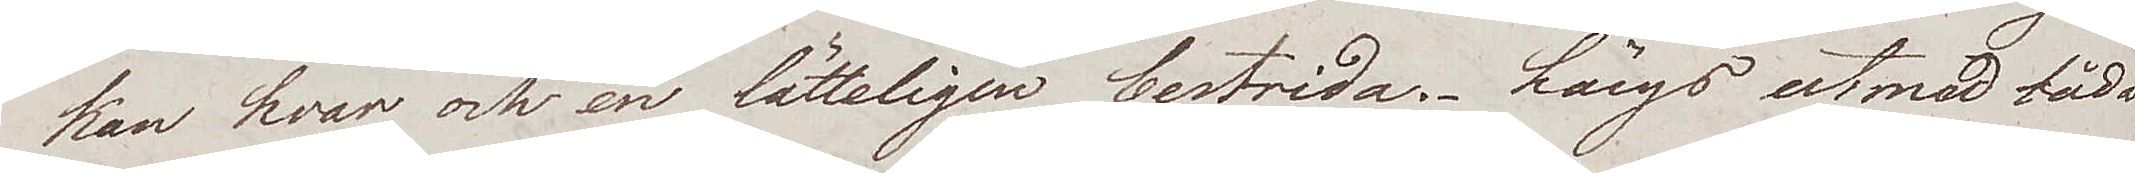kan hvar och en lätteligen bestrida. Längs utmed båda
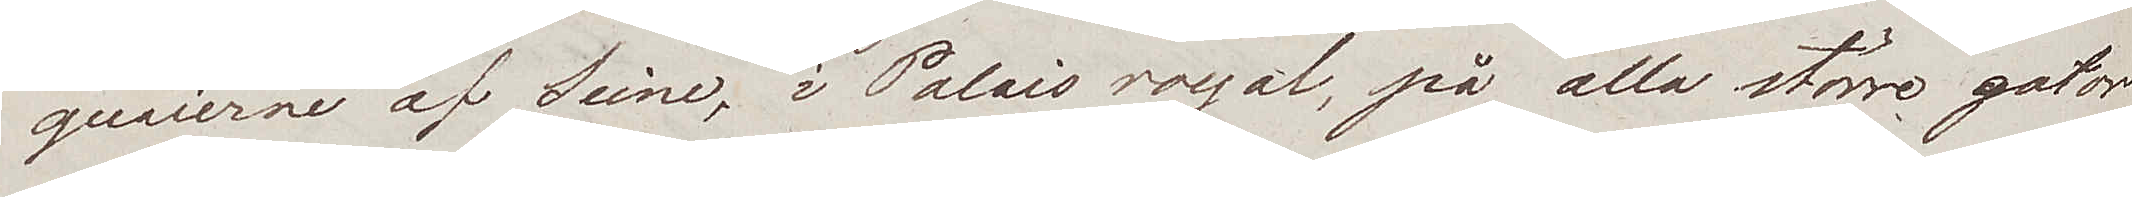quaierne af Seine, i Palais royal, på alla större gator
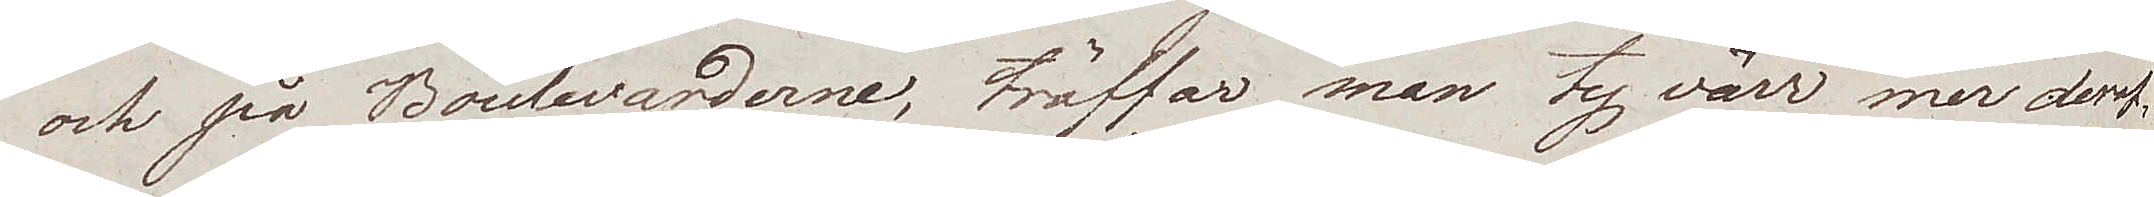och på Boulevarderna, träffar man ty värr mer deraf,
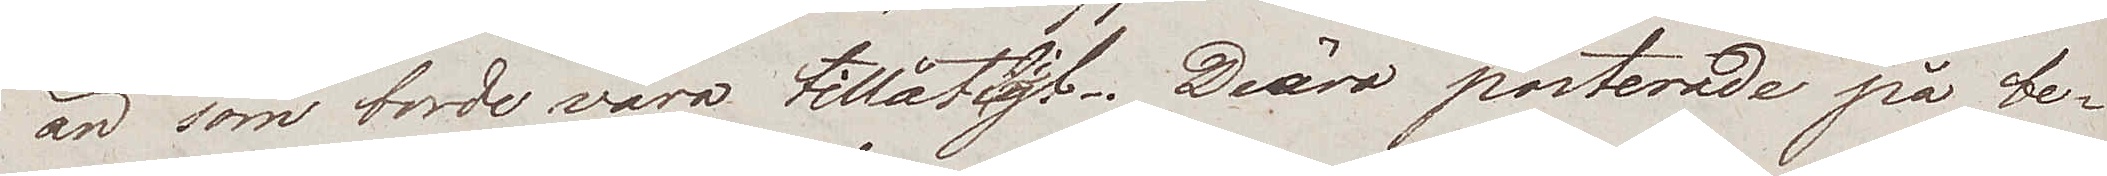än som borde våra tillåtligt. Deäro posterade på be¬
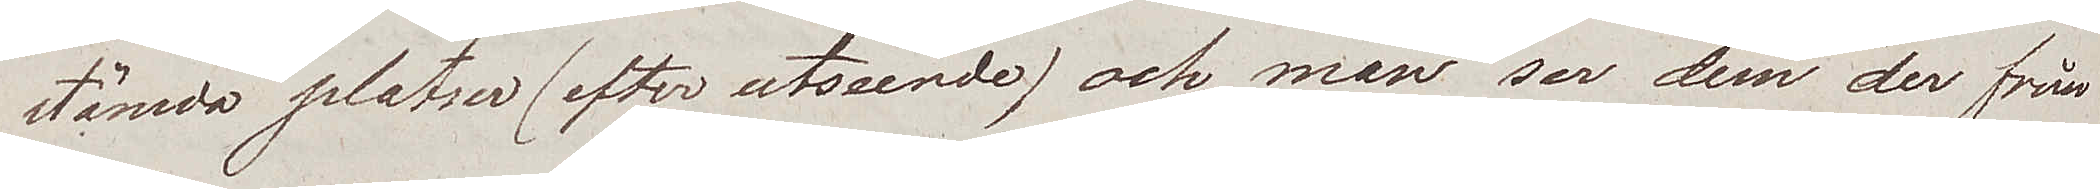stämda platser (efter utseende) och man ser dem der från
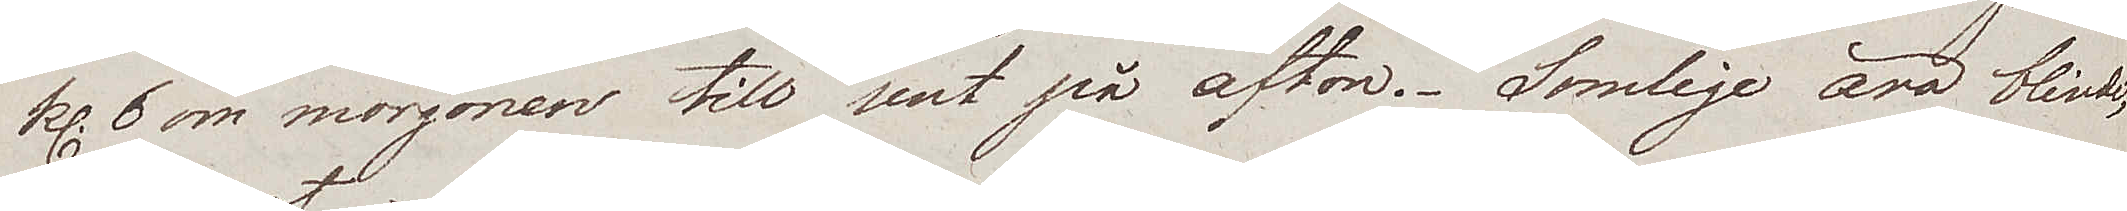kl. 6 om morgonen till sent på afton. Somlige äro blinde,
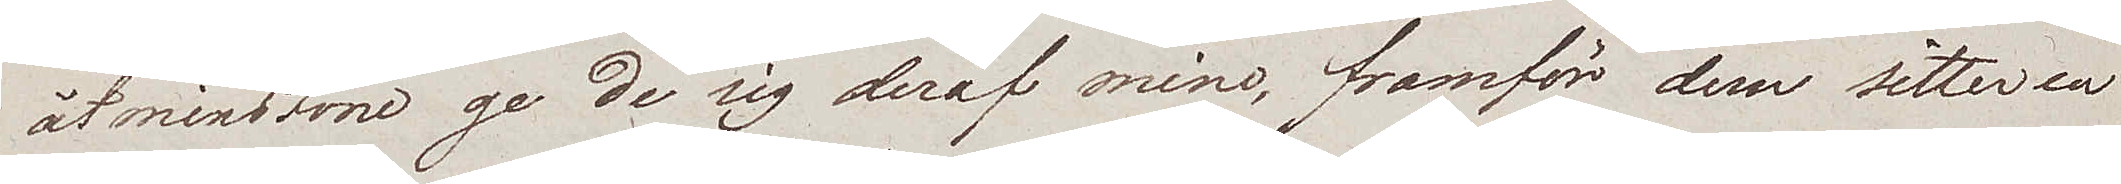åtminstone ge de sig deraf mine, framför dem sitter en
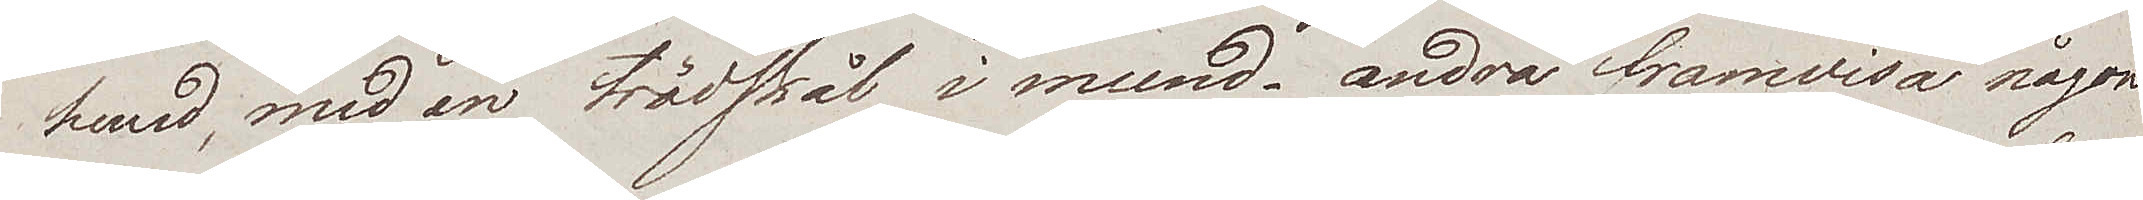hund, med en trädskål i mund – andra framvisa någon
